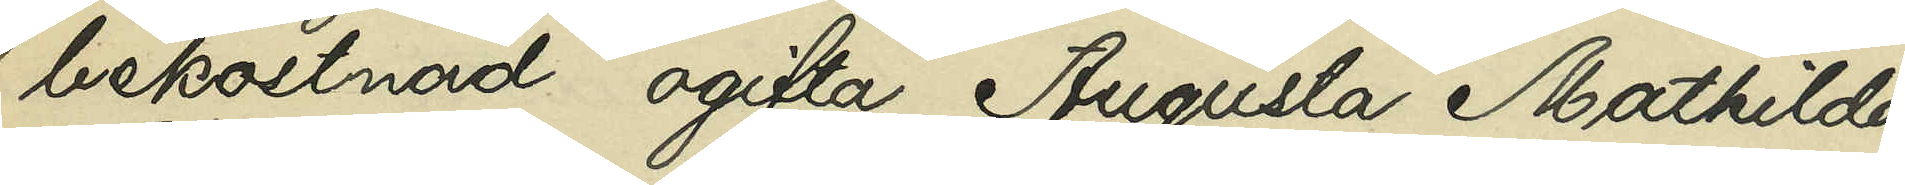bekostnad ogifta Augusta Mathilda
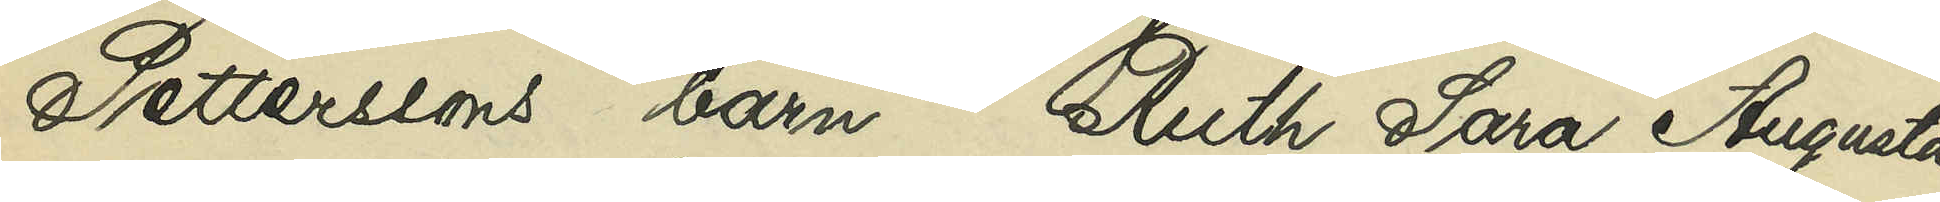Petterssons barn Ruth Sara Augusta
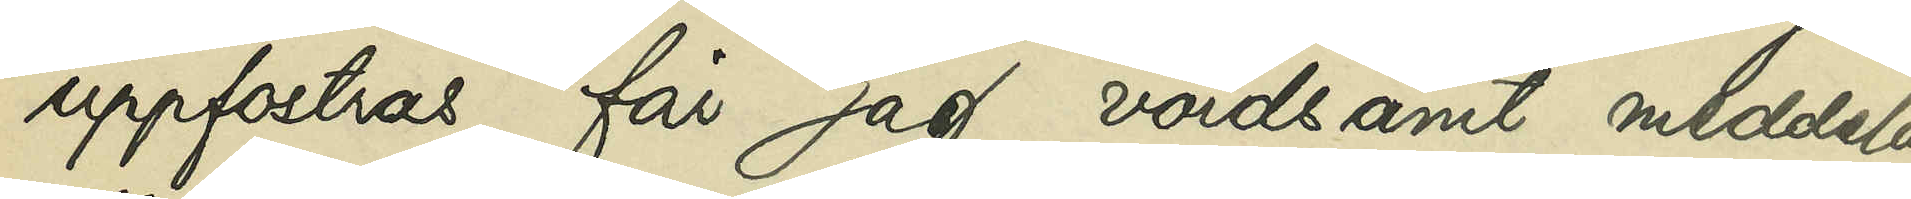uppfostras, får jag vördsamt meddela,
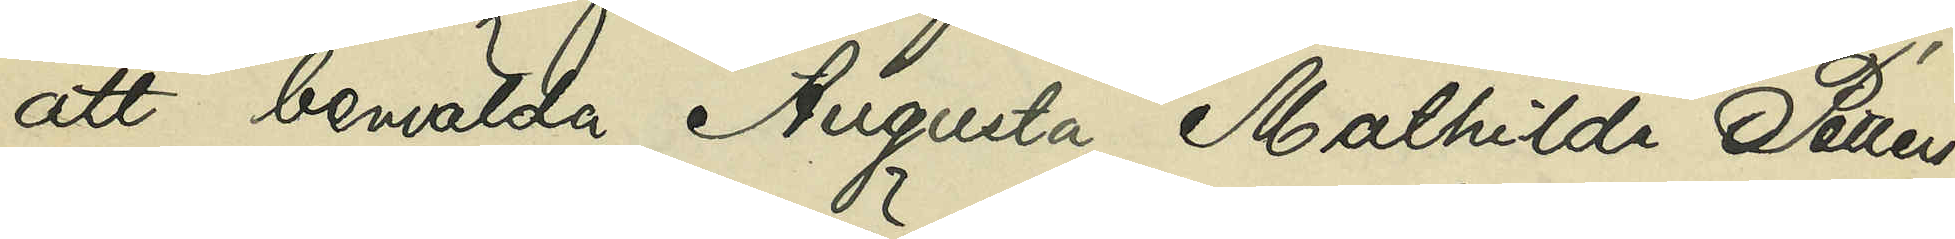att bemälda Augusta Mathilda Petters¬
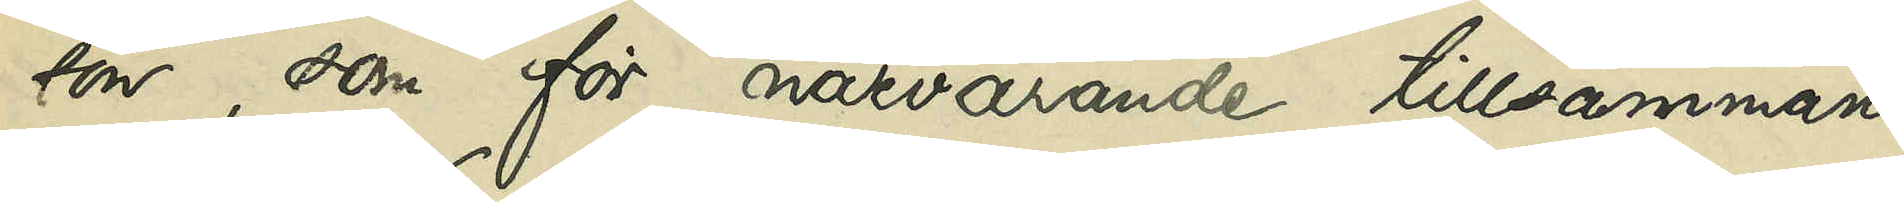son, som för närvarande tillsammans
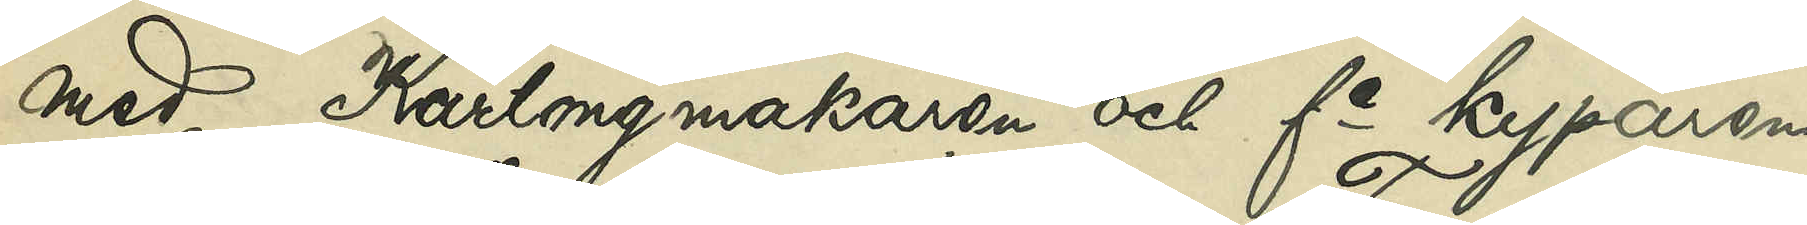med Kartongmakaren och fe kyparen
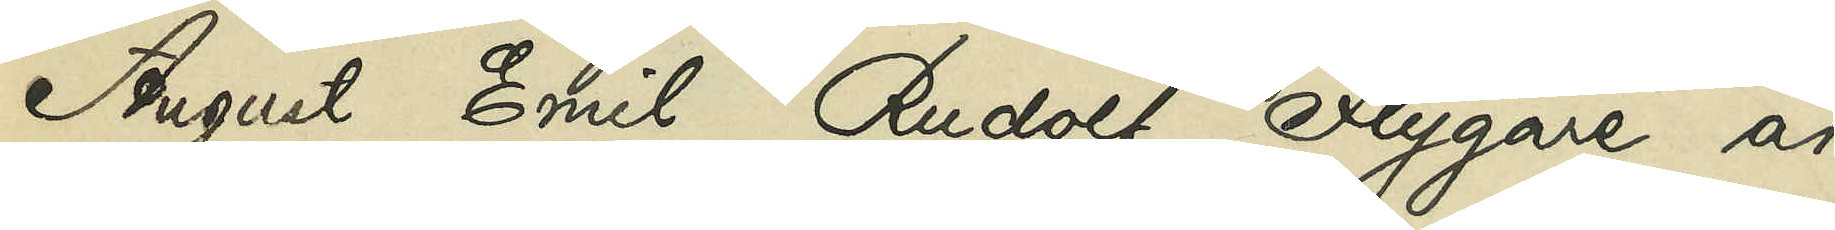August Emil Rudolf Flygare är
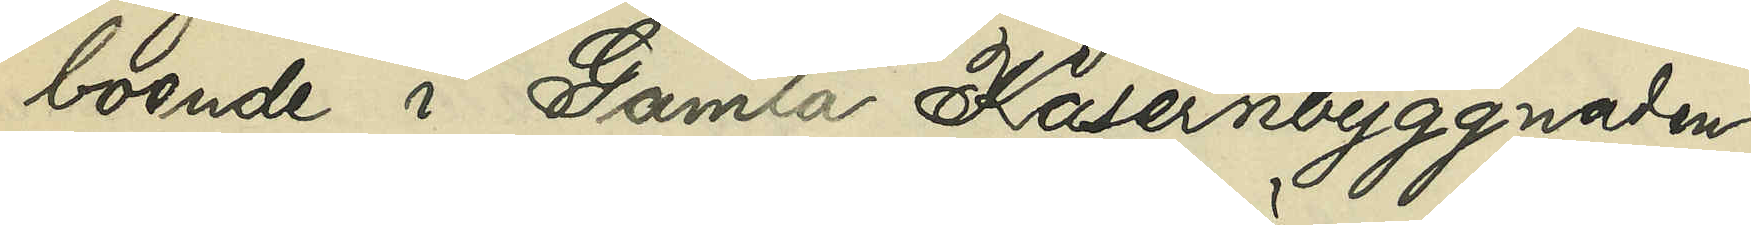boende i Gamla Kasernbyggnaden
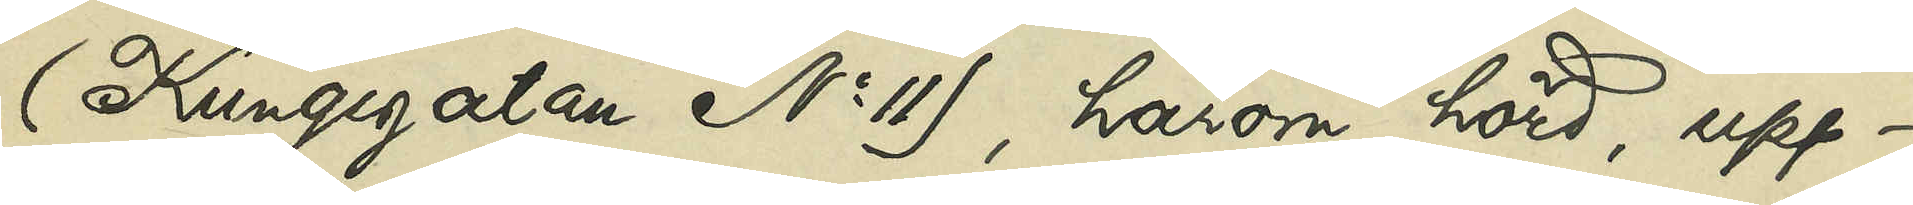(Kungsgatan No 11), härom hörd, upp¬
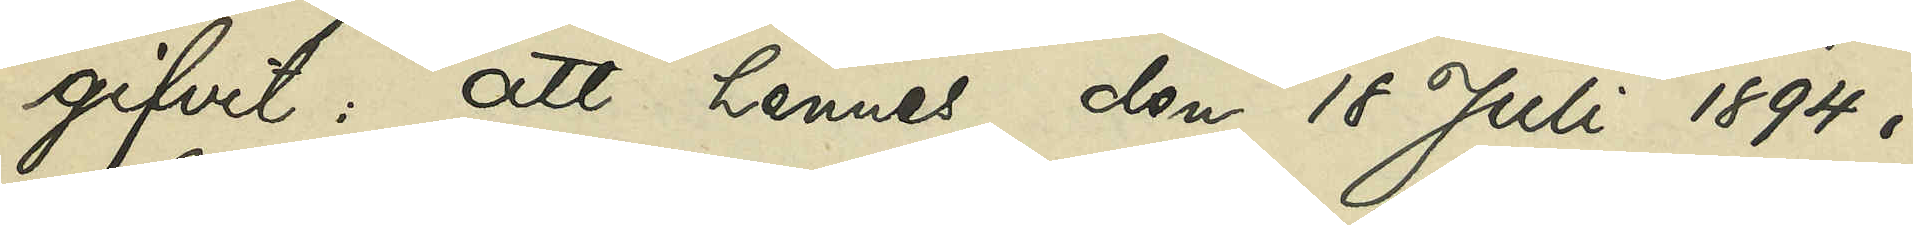gifvit, att hennes den 18 Juli 1894 i
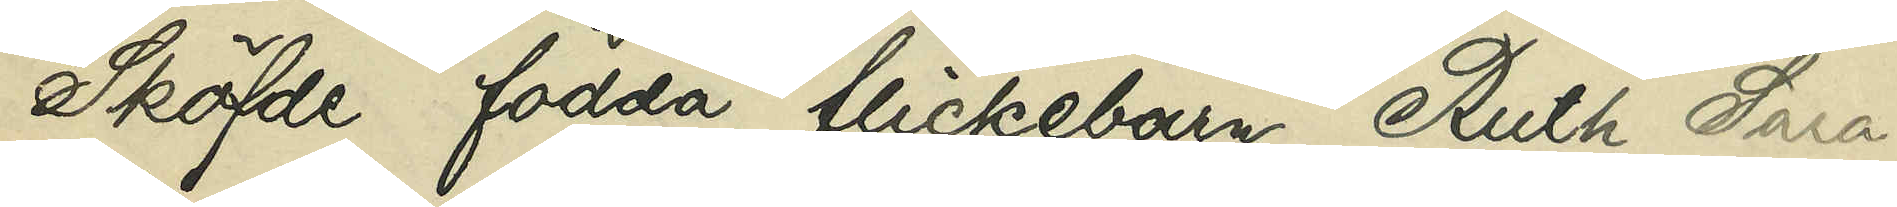Sköfde födda flickebarn Ruth Sara
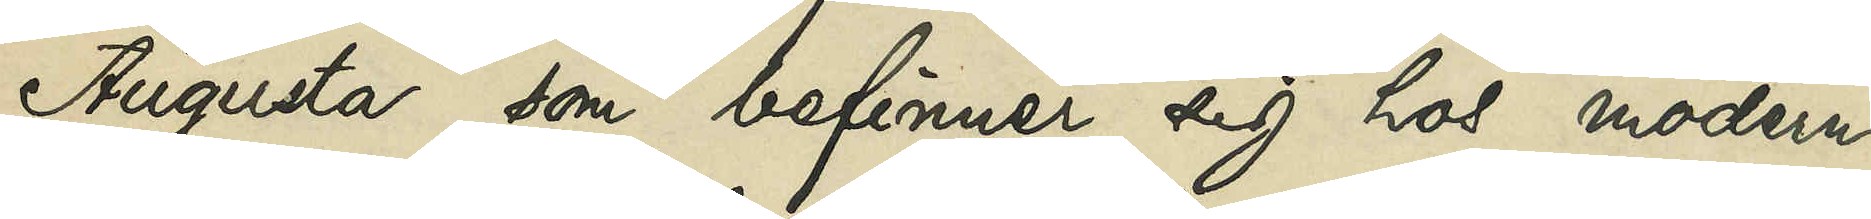Augusta, som befinner sig hos modern
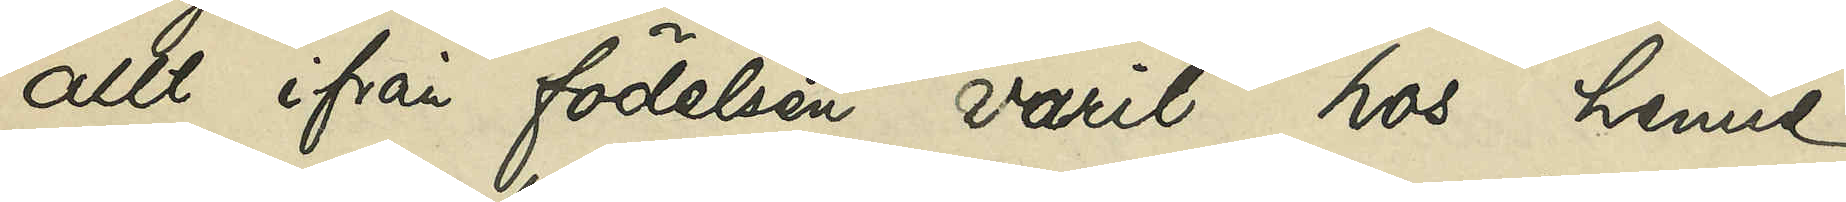allt ifrån födelsen varit hos henne
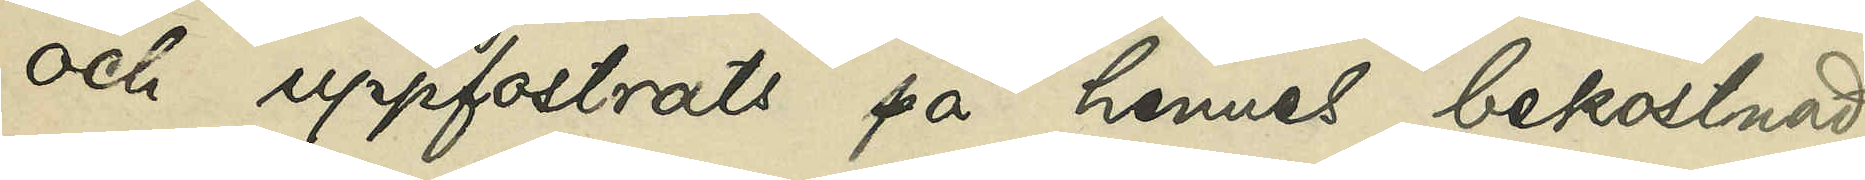och uppfostrats på hennes bekostnad
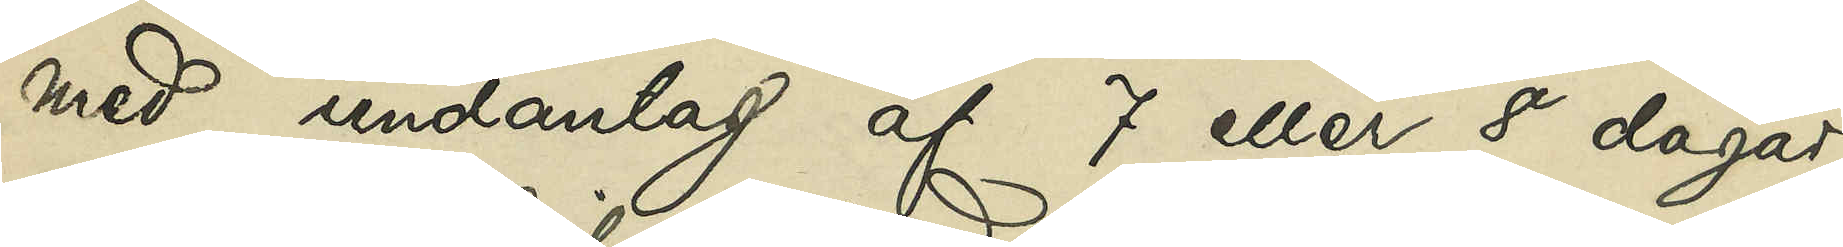med undantag af 7 eller 8 dagar
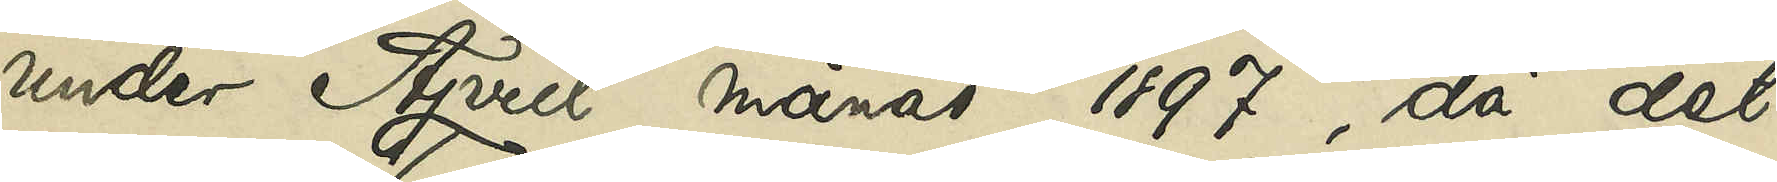under April månad 1897, då det
